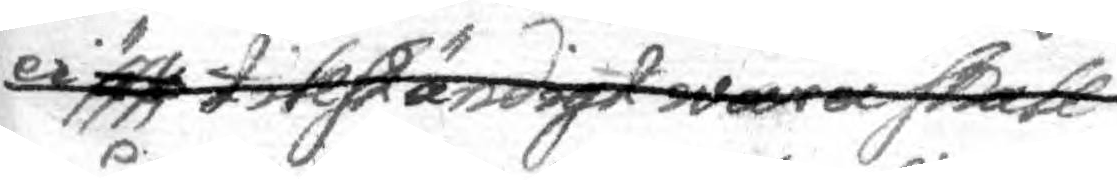ei är tillständigt waea skall
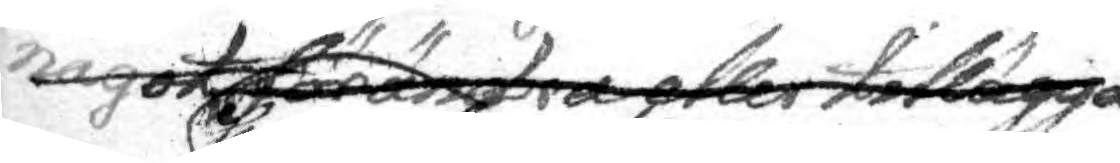något förändra eller tillägga,
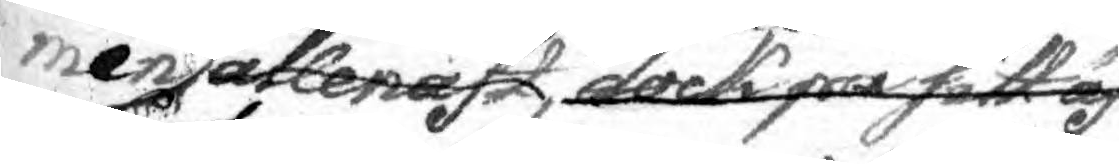men allenast, dock på sitt äf¬
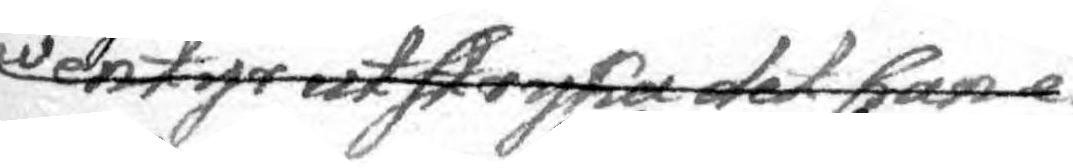wentyr utstryka det han e
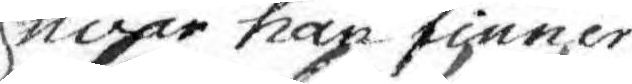hvar han finner
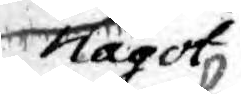något
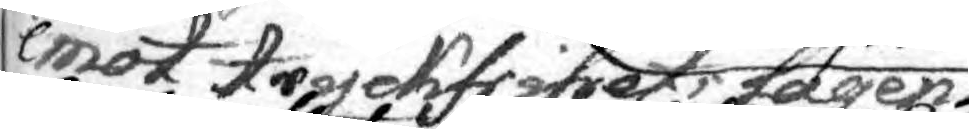emot trycksfrihets lagen pröf¬
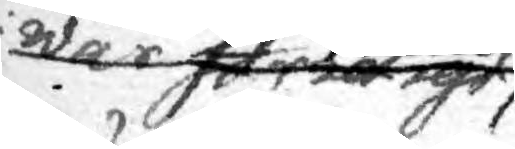war föridigt
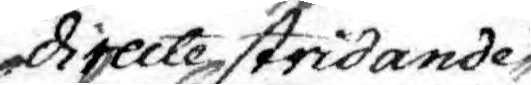directe stridande
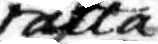rätta
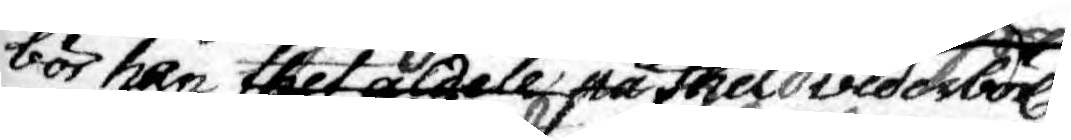bör han thet adell på thet vederbörl.
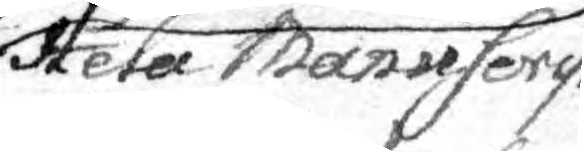Hela Manyscrip¬
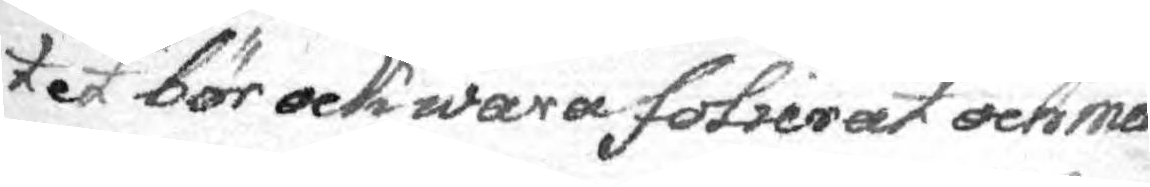tet bör ock wara folierat och med
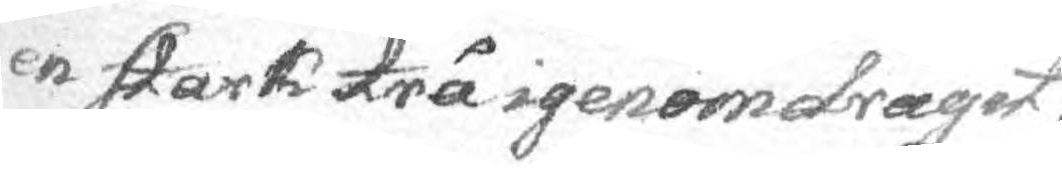en stark trå igenomdragit,
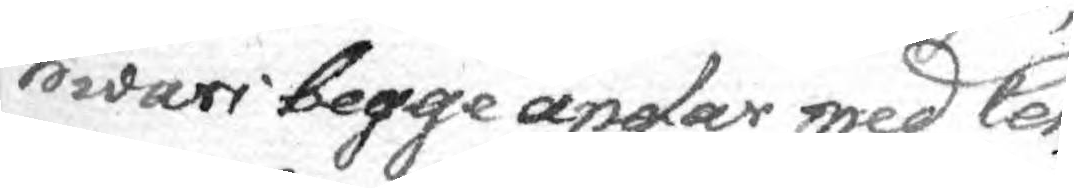hwari begge ändar med Cen¬
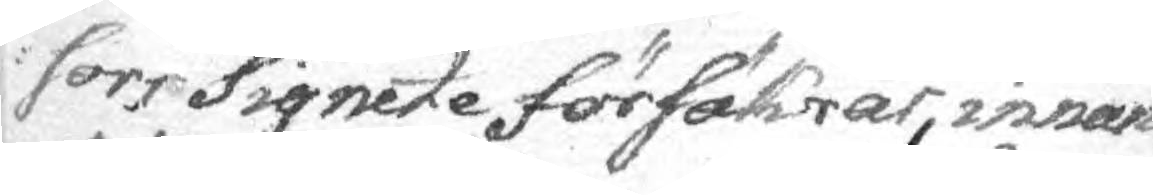sors Signete försäkrar, innan
